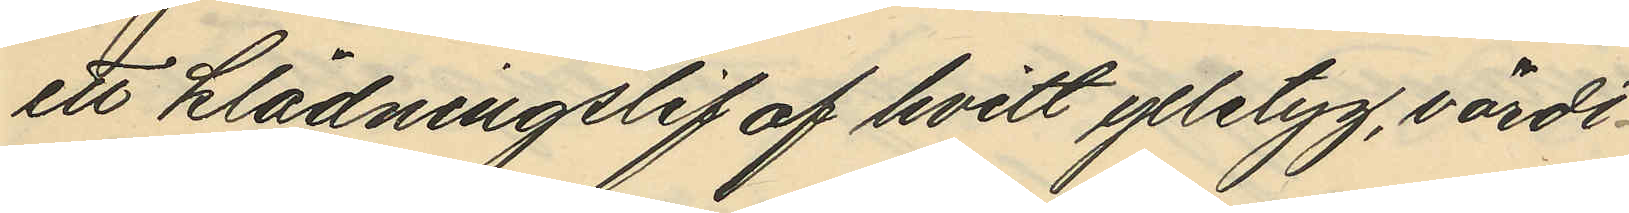ett klädningslif af hvitt ylletyg, värdt
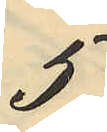5
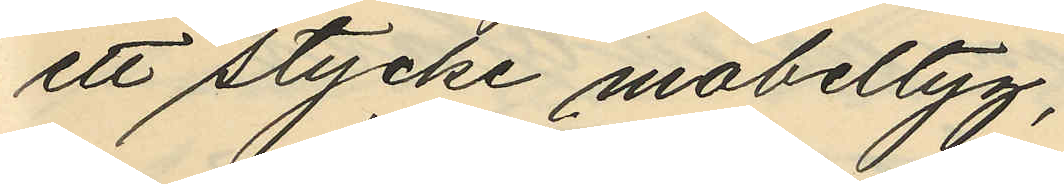ett stycke möbeltyg,
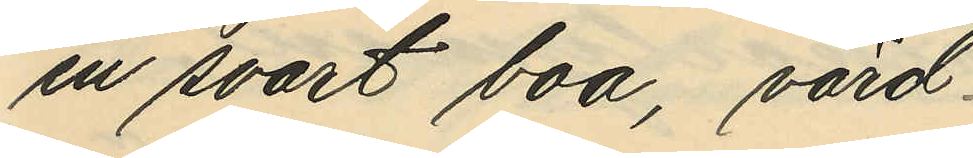en svart boa, värd
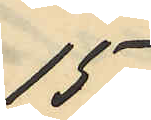15,
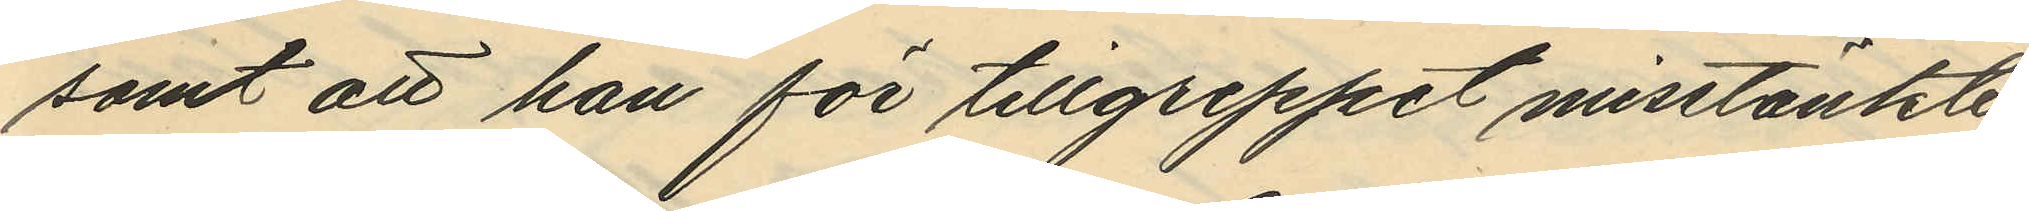samt att han för tillgreppet misstänkte
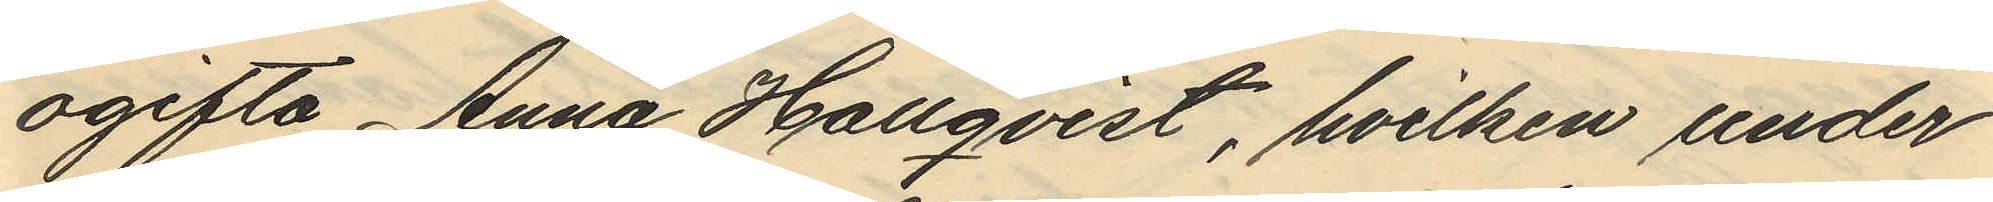ogifta Anna Hallqvist, hvilken under
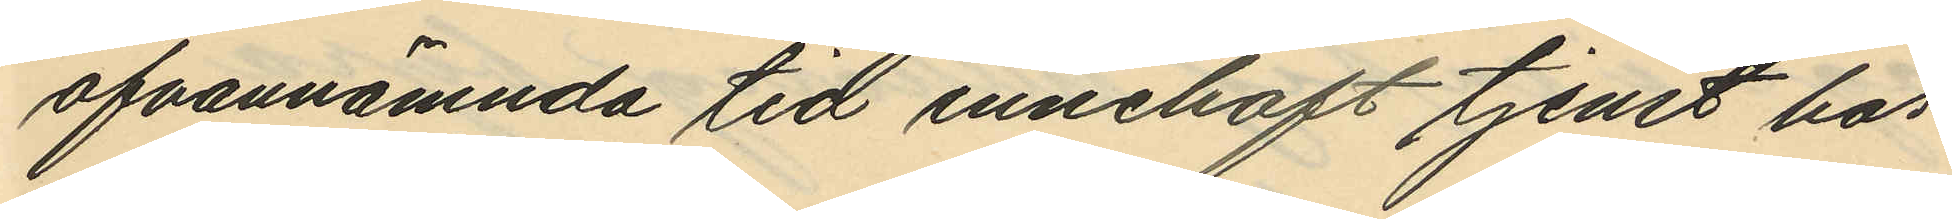ofvannämnda tid innehaft tjenst hos
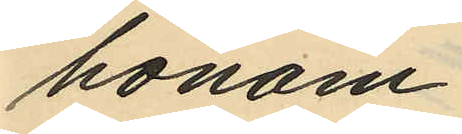honom.
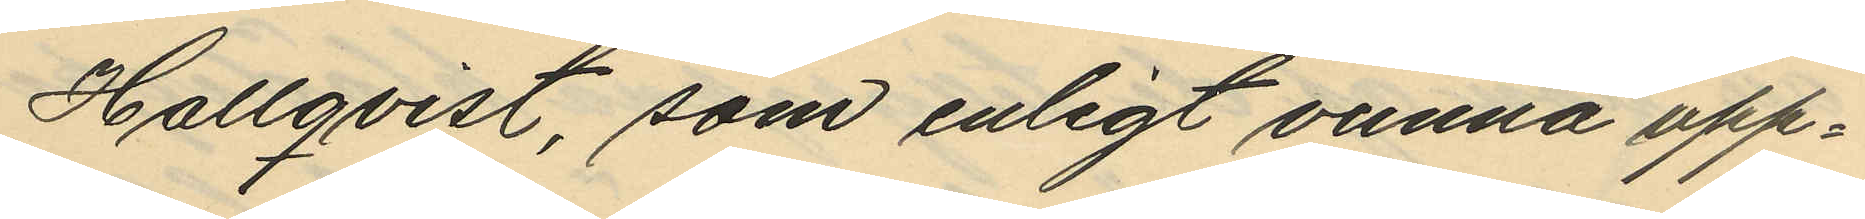Hallqvist, som enligt vunna upp¬
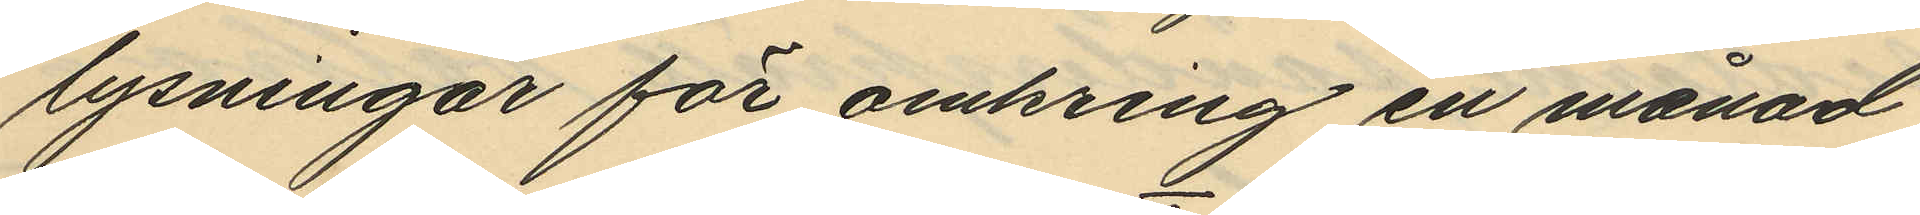lysningar för omkring en månad
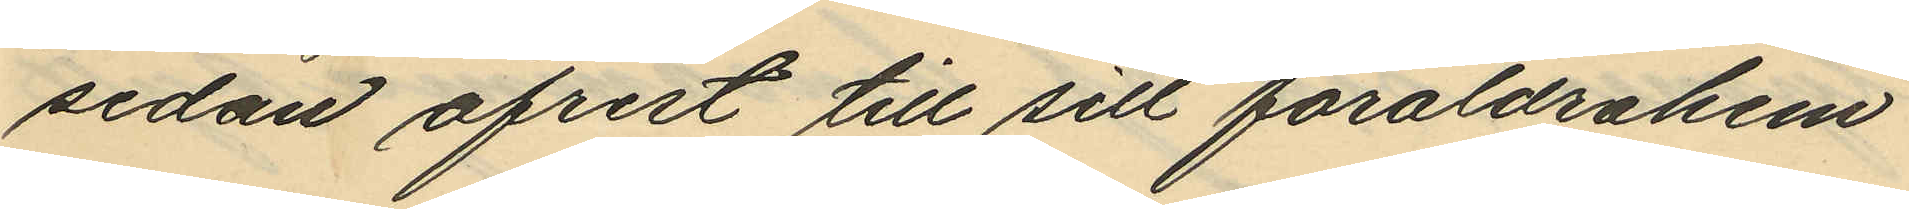sedan afrest till sitt föräldrahem
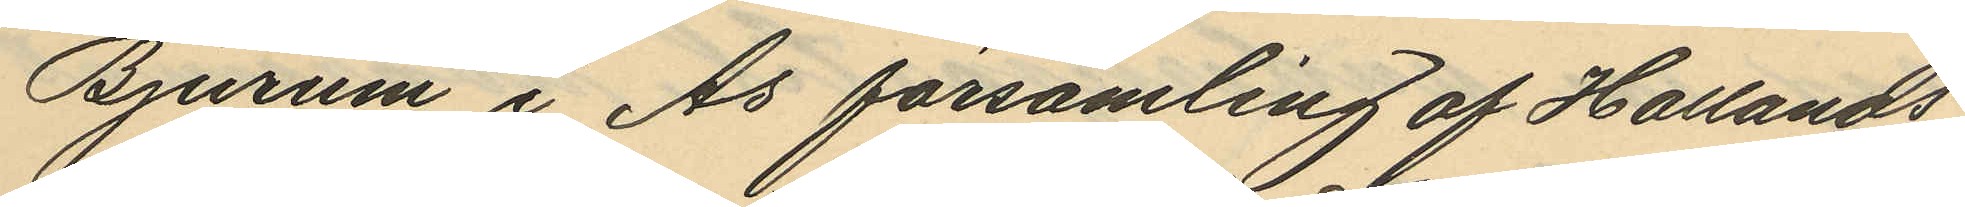Bjurum i Ås församling af Hallands
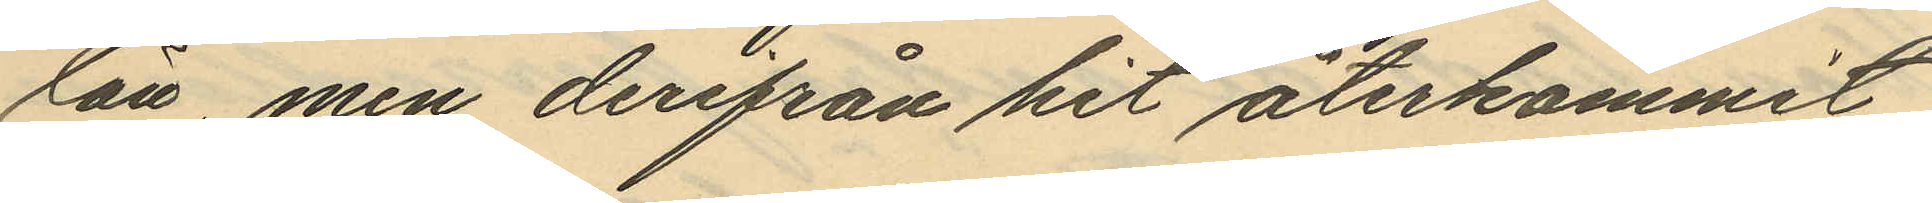län, men derifrån hit återkommit
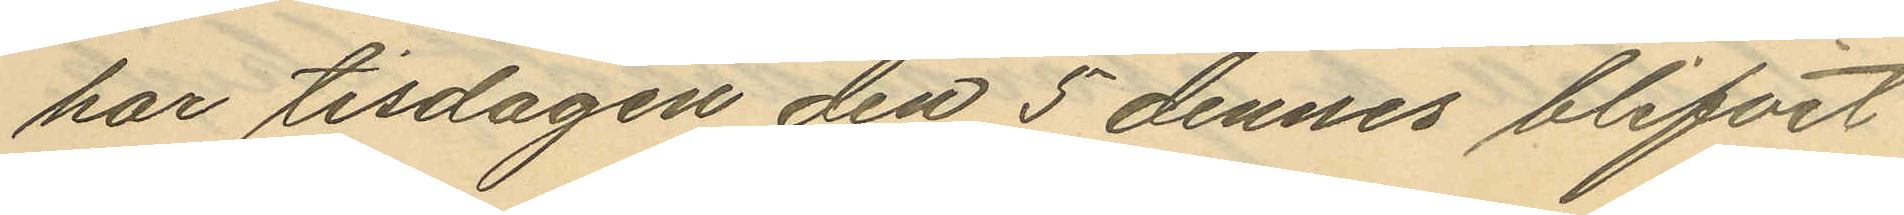har tisdagen den 5 dennes blifvit
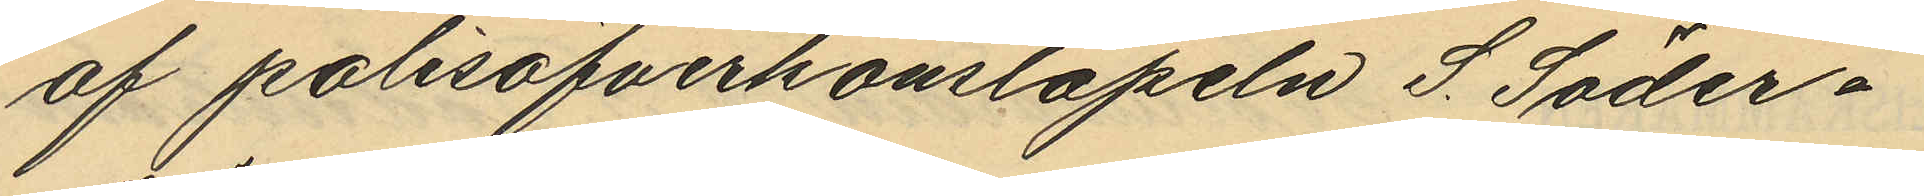af polisöfverkonstapeln S. Söder¬
